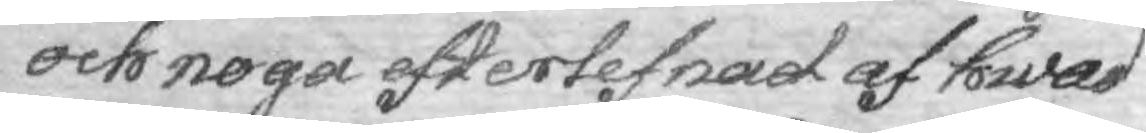och noga efterlefnad af hwad
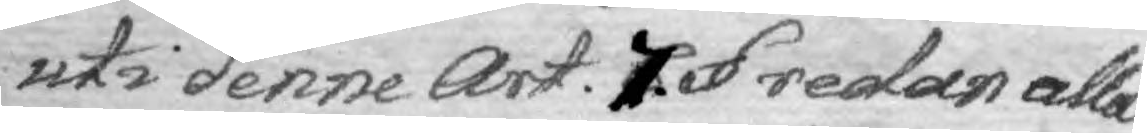uti denne Art. 7 §. redan alla 
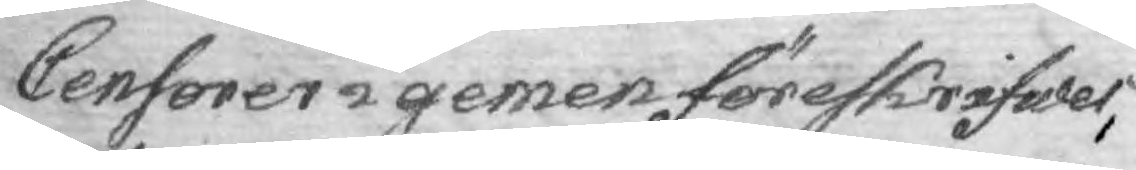Censorer i gemen föreskrifwer,
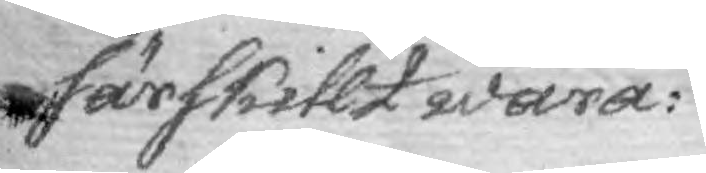särskillt wara:
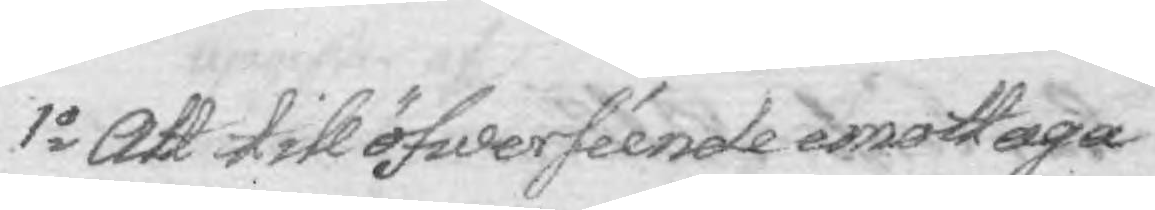1o Att till öfwerséende emottaga
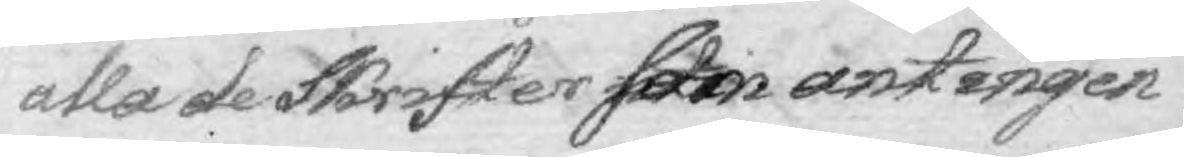alla de Skrifter som antingen
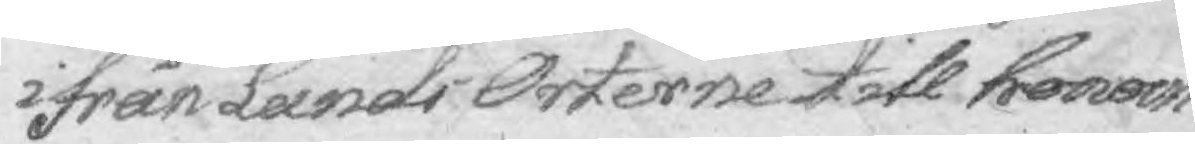ifrån Lands Orterne till honom
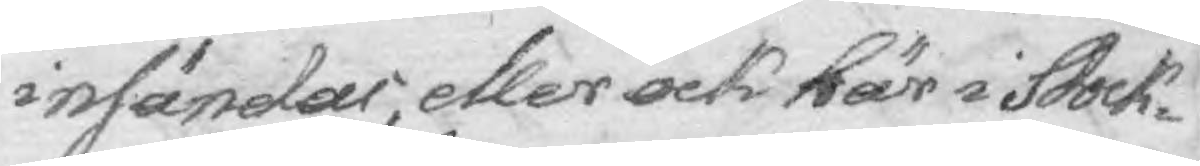insändes, eller ock här i Stock¬
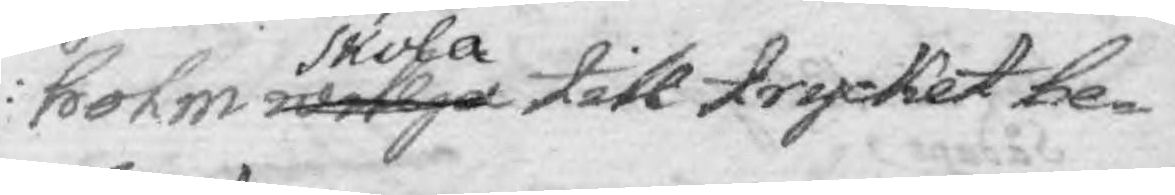holm willja skola till trycket be¬
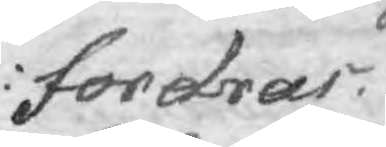fordras.
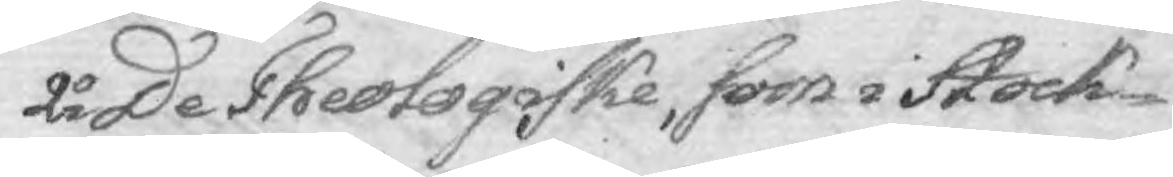2o De Theologiske, som i Stock¬
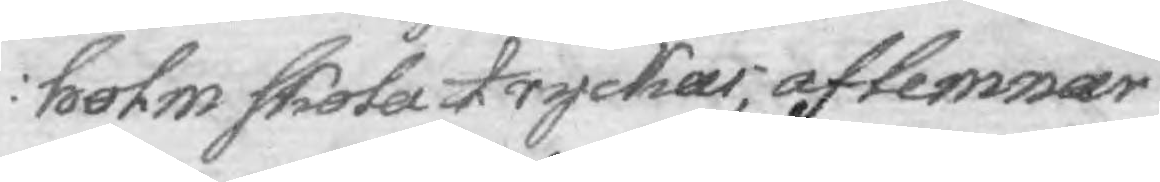holm skola tryckas, aflemnar
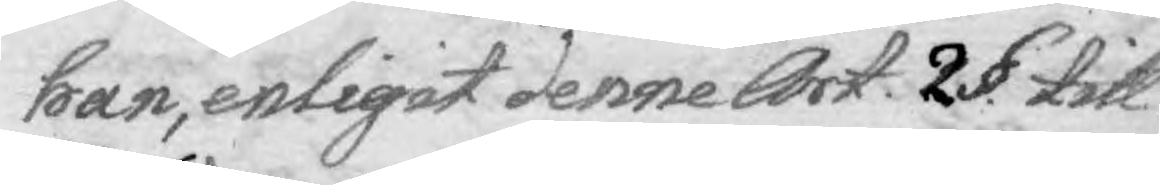han, enligit denne Art. 2 §. till
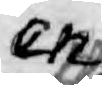en
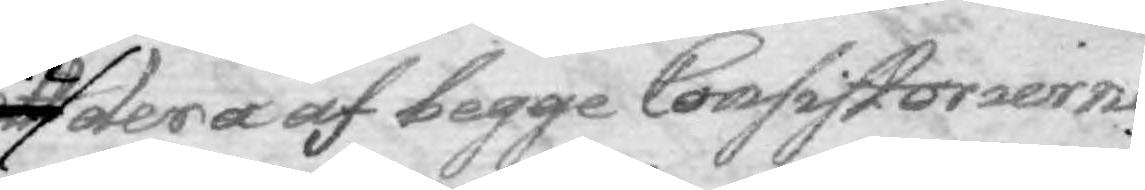ett dera af begge Consistorierne,
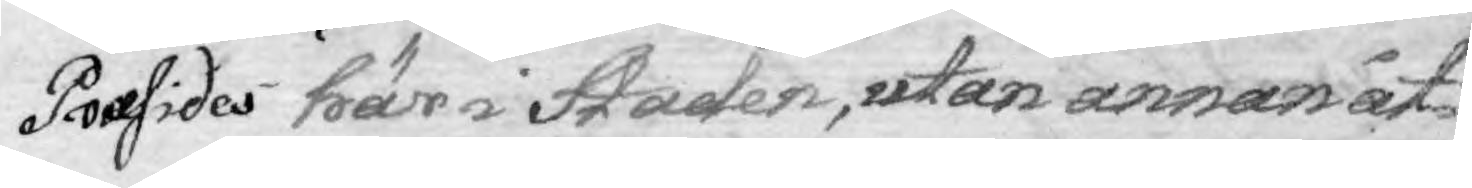Præsides här i Staden, utan annan åt¬
